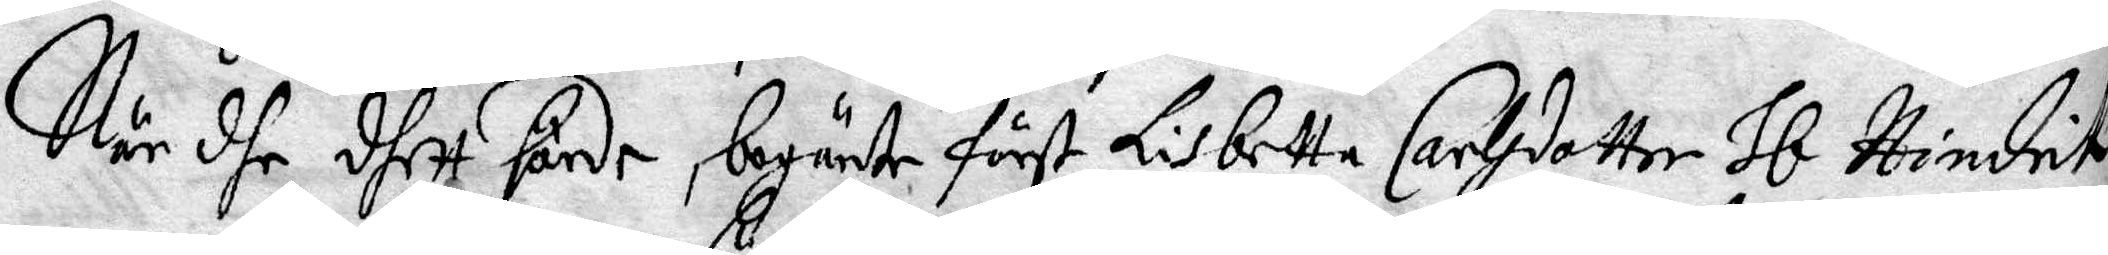När dhe dhett hörde begärte först Lisbetta Carlsdotter Hl Hindrik
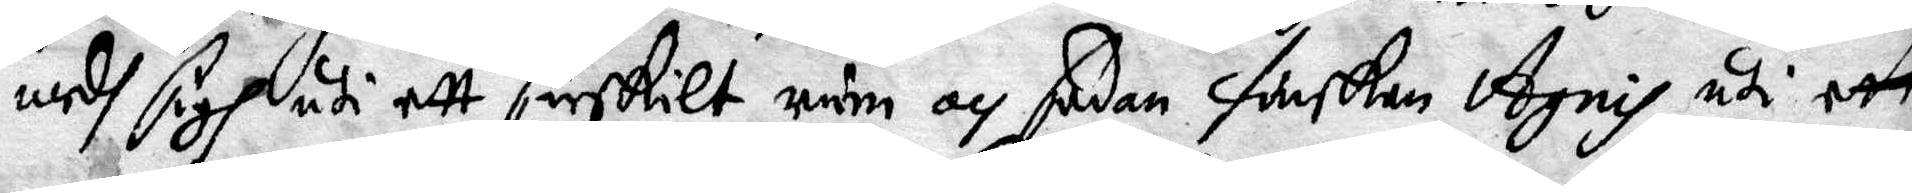medh sigh uti ett särskilt rum och sedan finskan Agnis uti ett
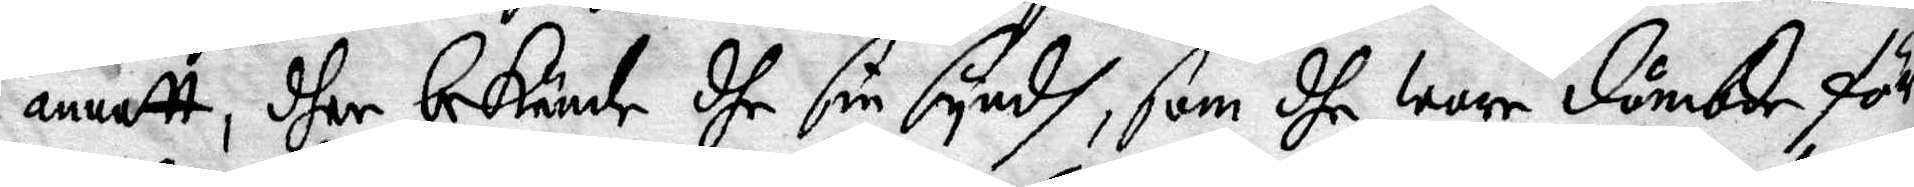annatt, dher bekände dhe sin syndh, som dhe warr dömbde förr
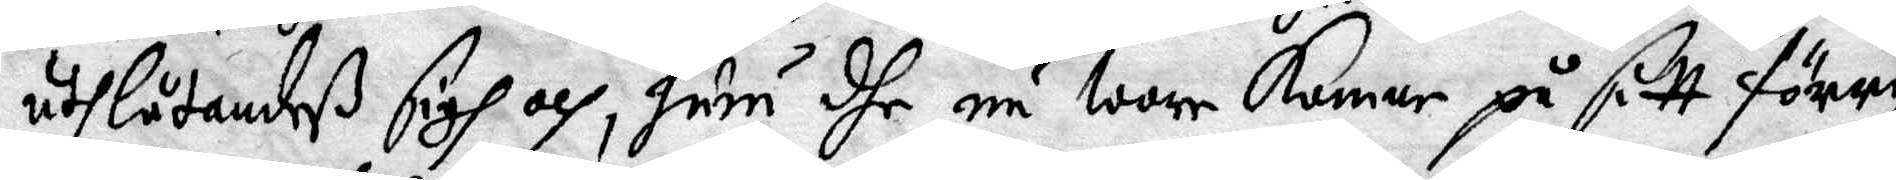uthlåtandeß sigh och, huru dhe nu warr komne på sitt förrige
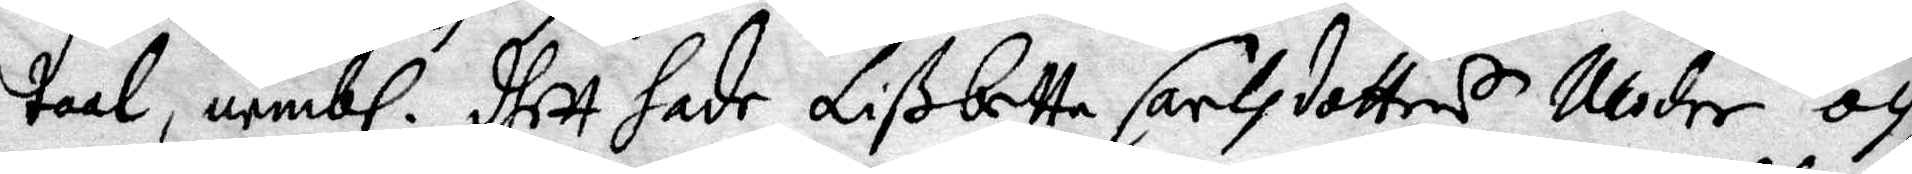taal, nembl. dhett hade Lisbetta Carlsdotters moder och
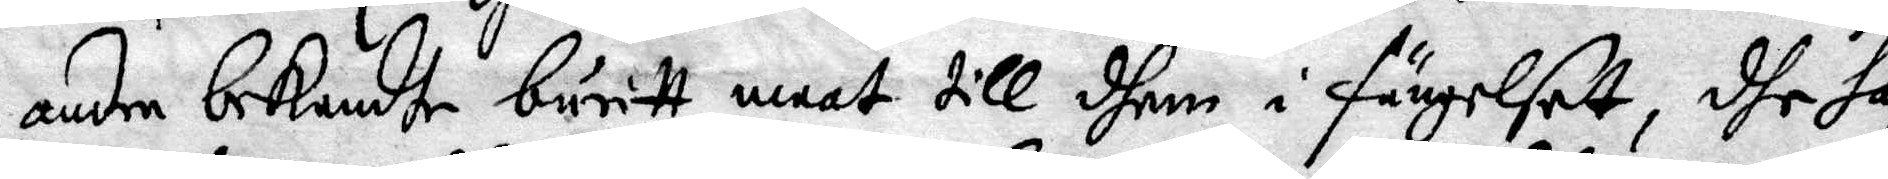andre bekendhe buritt maat till dhem i fängelsett, dhe haf¬
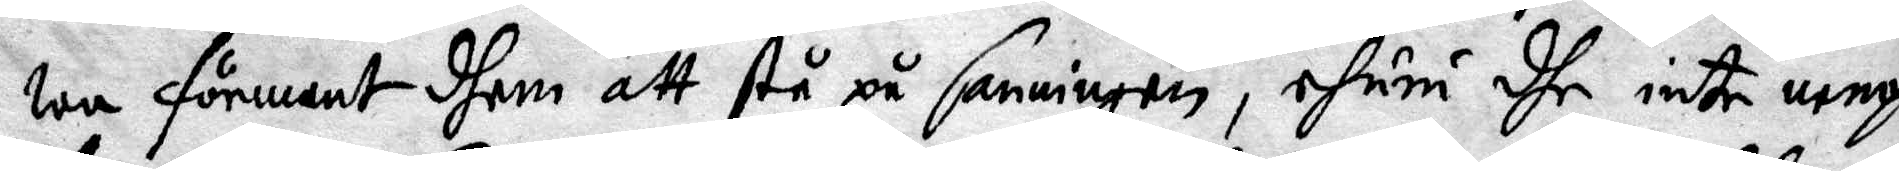wa förment dhem att stå på sanningen, ehuru dhe inte nenp
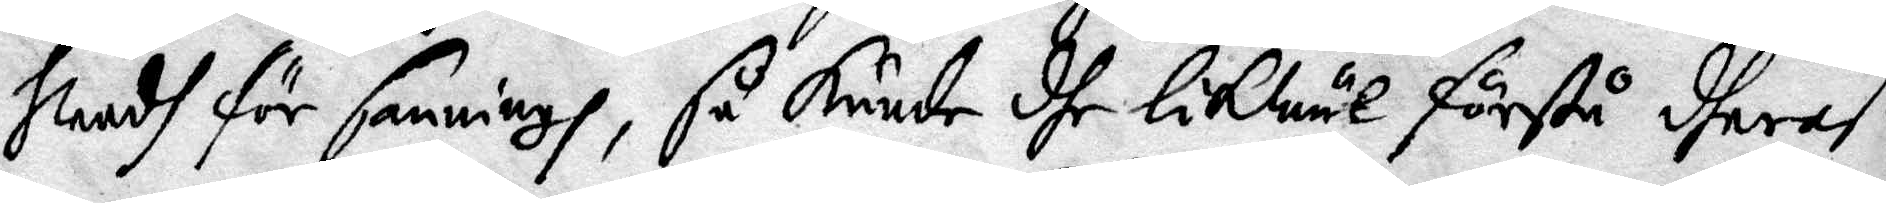hwadh för sanningh, så kunde dhe lokwäl förstå dheraß
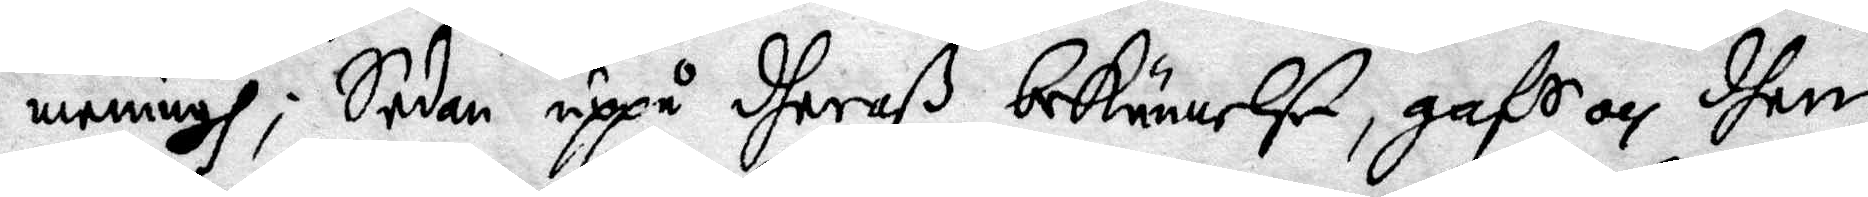meningh; Sedan uppå dheraß bekännelse, gafs och dhem
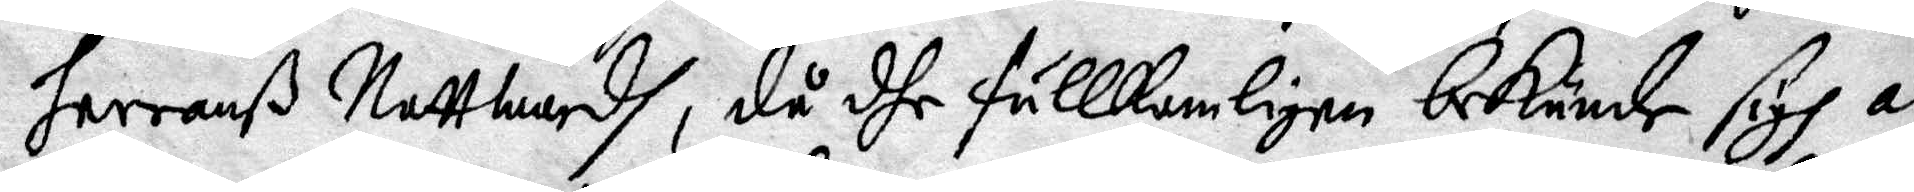herranß Nattwardh, då dhe fullkombligen bekände sigh al¬
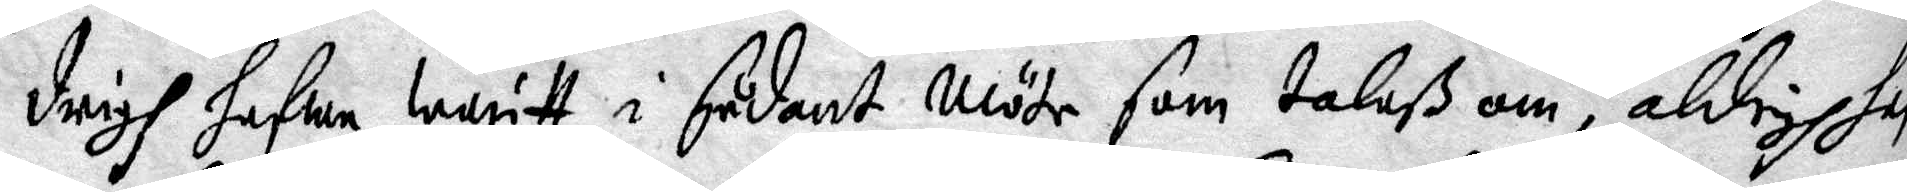drigh hafwa waritt i sådant möte som talaß om, aldrig haf¬
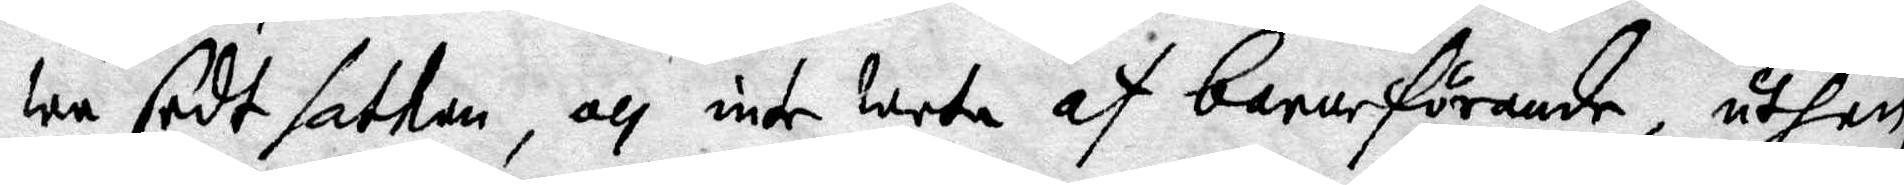wa sedt sathan, och inte weta af barnaförande, uthan
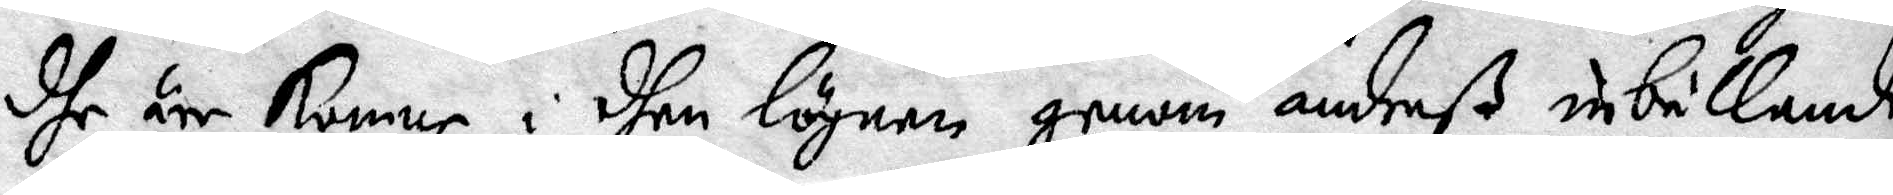dhe äre komne i dhen lögnen genom andraß inbillande
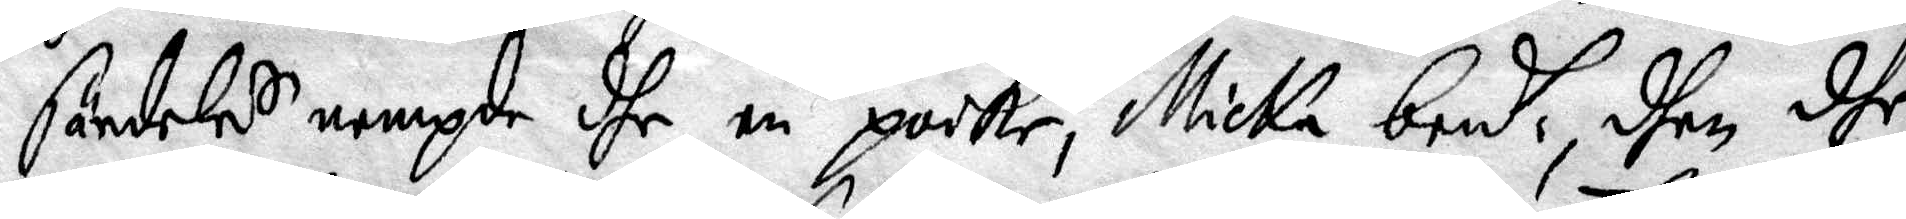särdeles nempde dhe en poike, Micka bend. dhen dhe
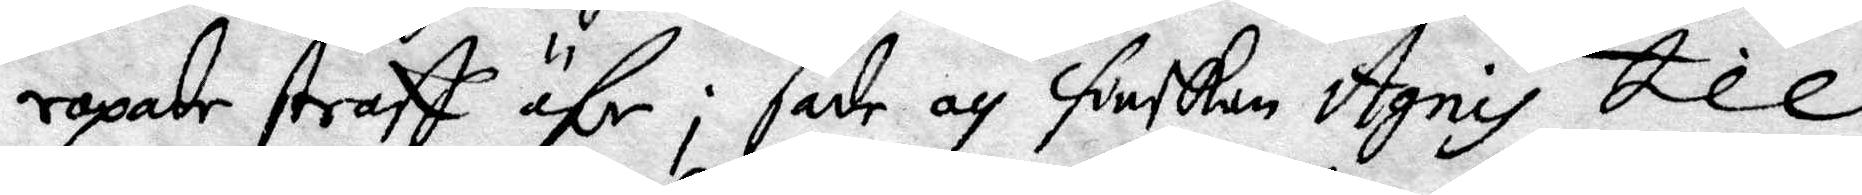ropade straff öfr; sade och finskan Agnis till
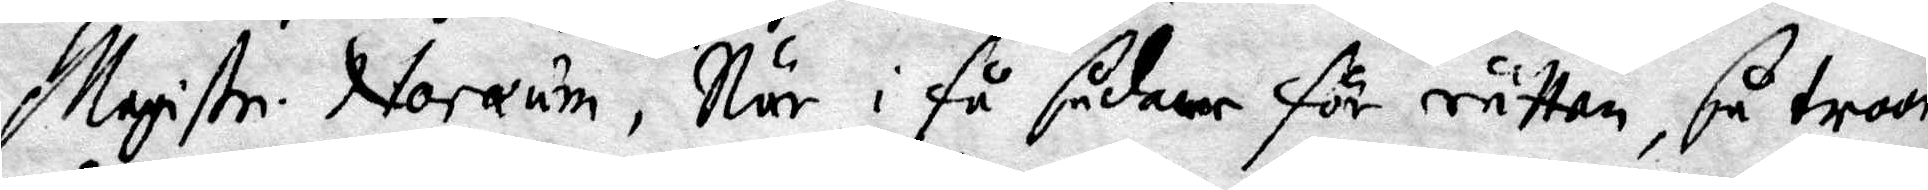Magistr. Noraum, När i få sådant för rätten, så troor
